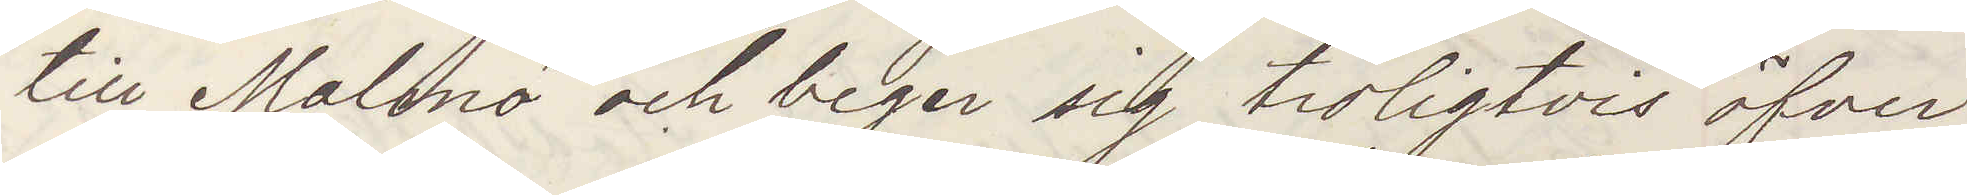till Malmö och beger sig troligtvis öfver
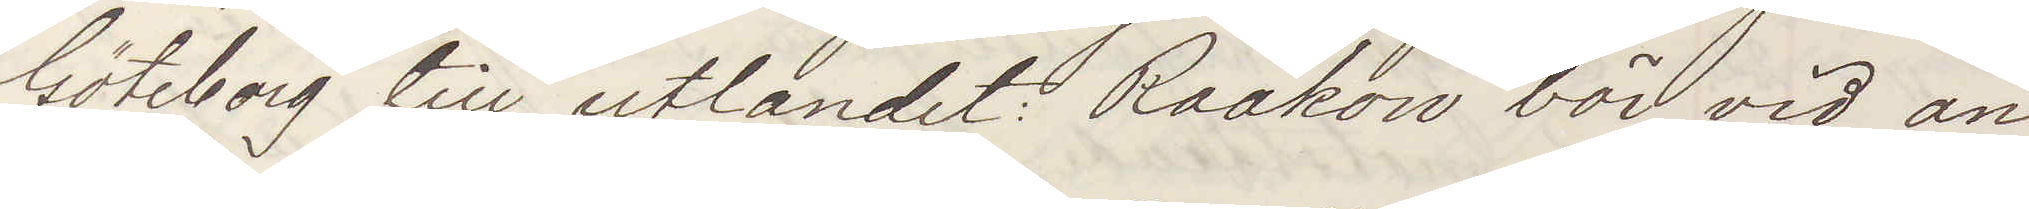Göteborg till utlandet: Raakow bör vid an¬
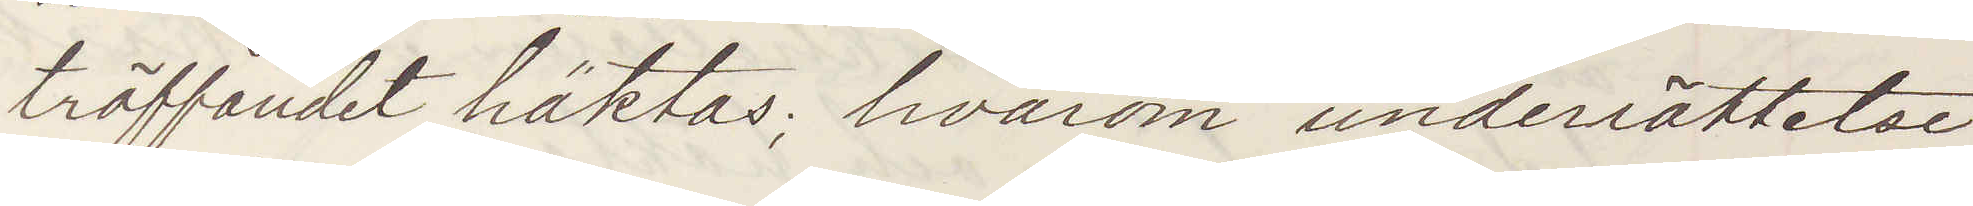träffandet häktas; hvarom underrättelse
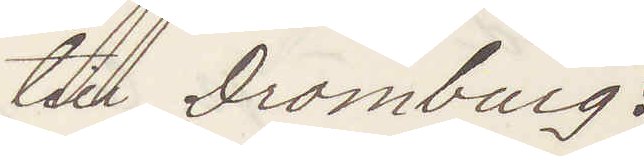till Dromburg:
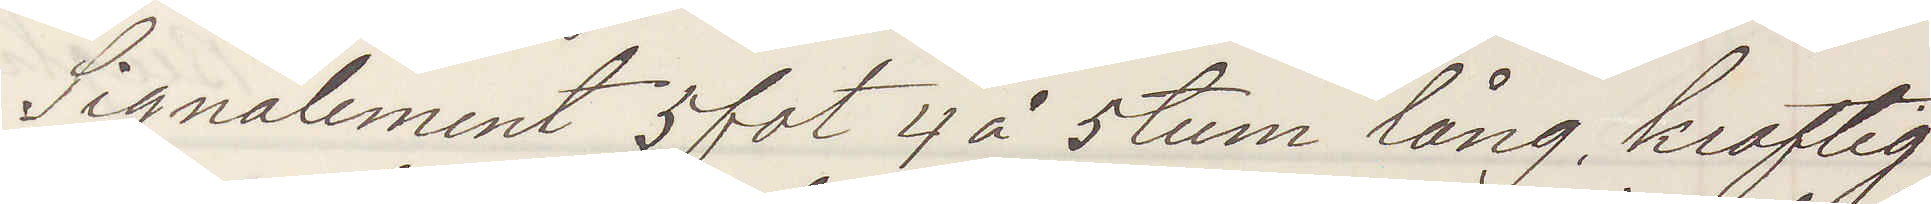Signalement 5 fot 4 à 5 tum lång, kraftig
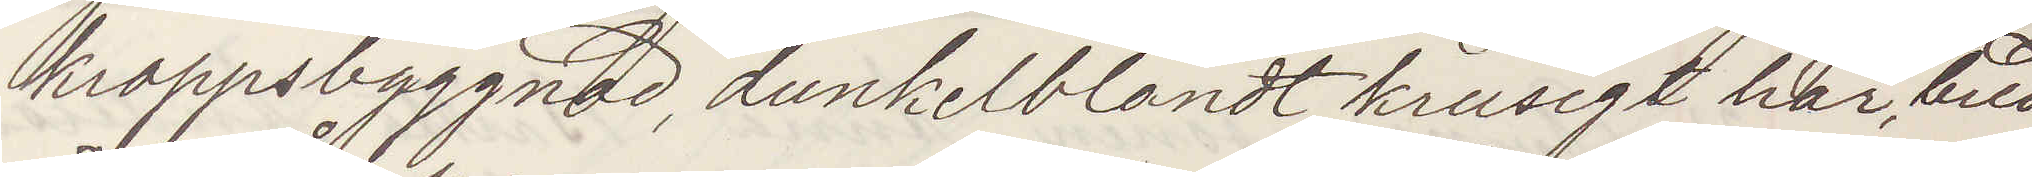kroppsbyggnad, dunkelblondt krusigt hår, bred
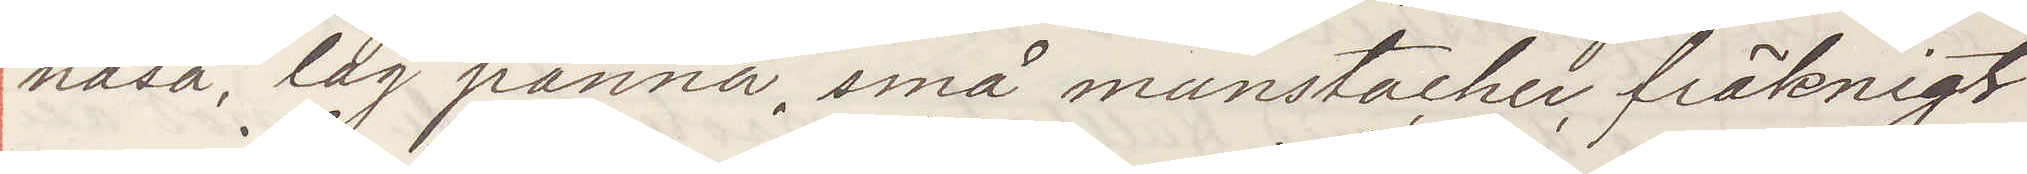näsa, låg panna, små munstacher, fräkningt
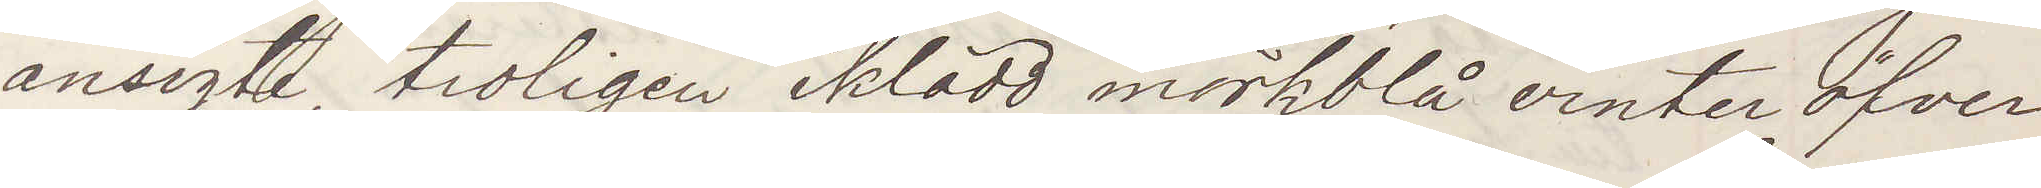ansigte, troligen iklädd mörkblå vinteröfver¬
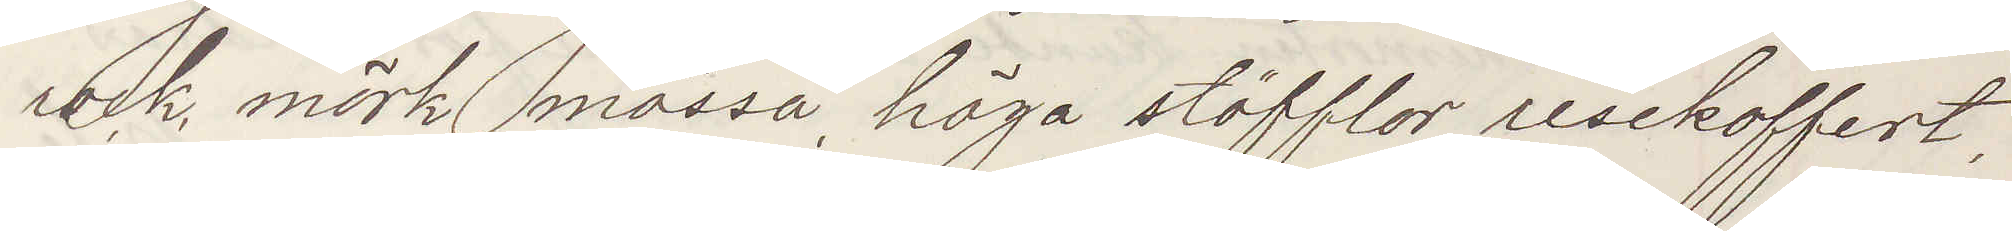rock, mörk mössa, höga stöfflor, resekoffert,
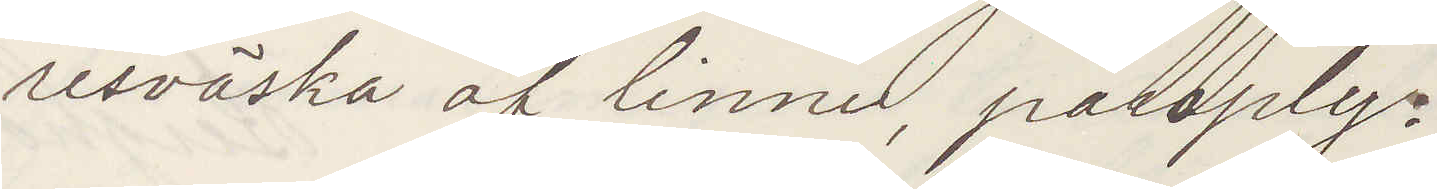resväska af linne, paraply:
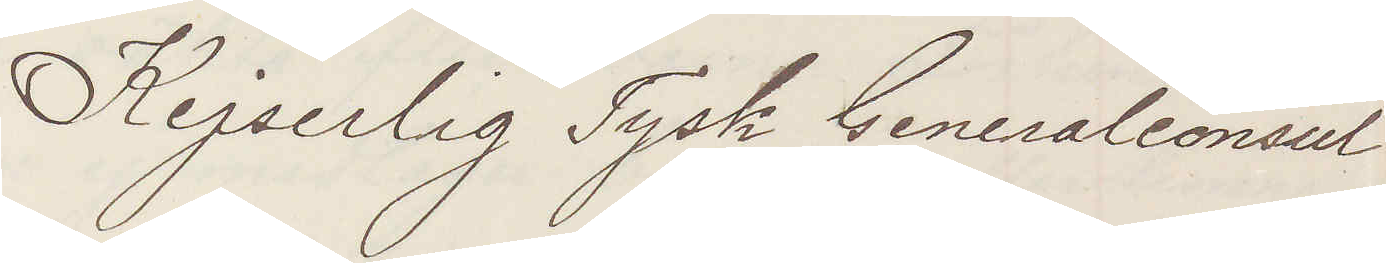Kejserlig Tysk Generalconsul
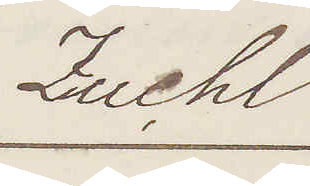Zuchl
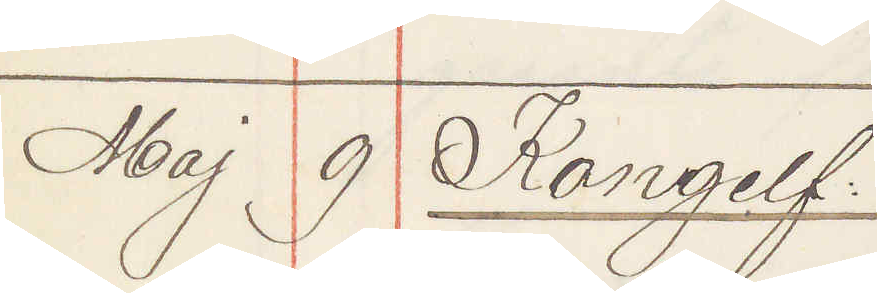Maj 9 Kongelf:
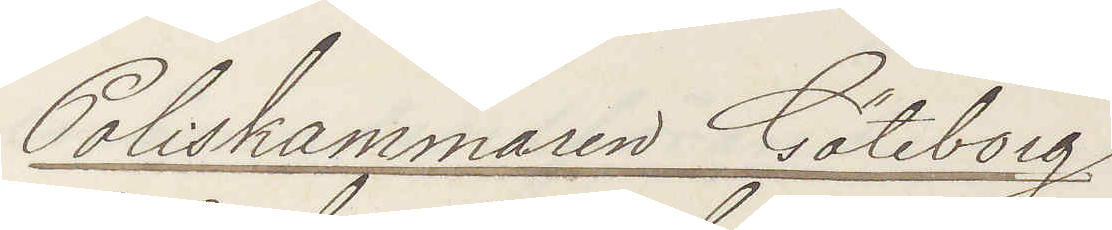Poliskammaren Göteborg
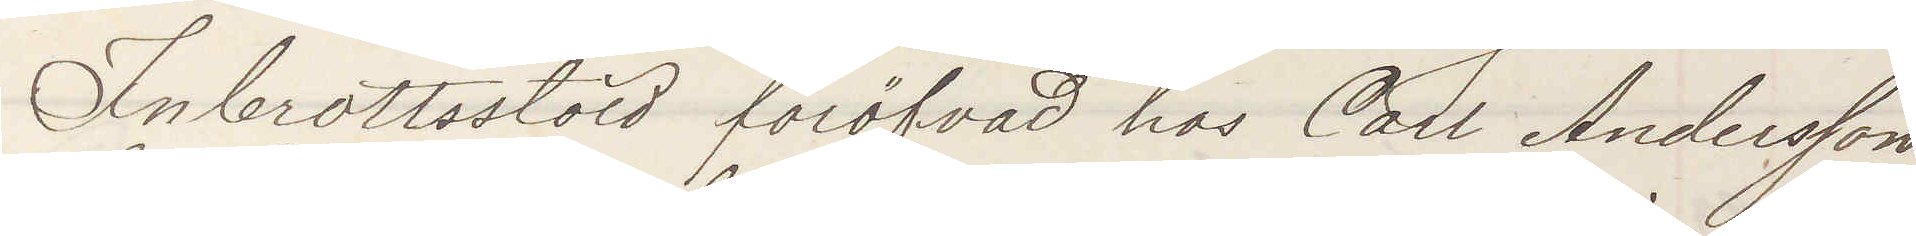Inbrottstöld föröfvad hos Carl Andersson
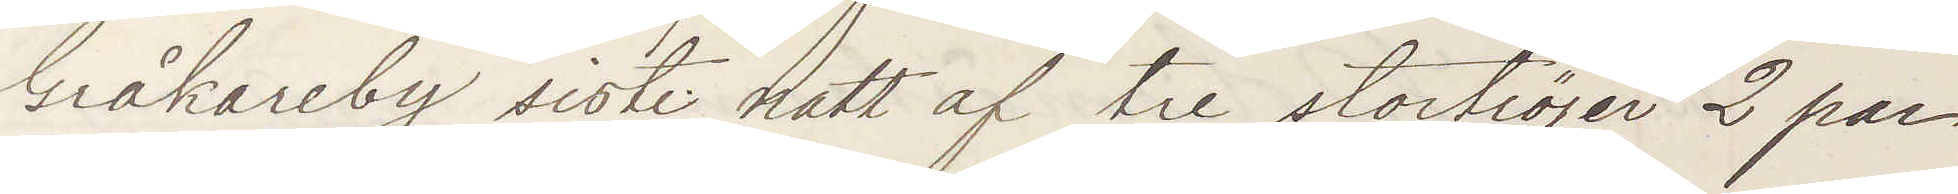Gråkareby sistl natt af tre stortröjer 2 par
